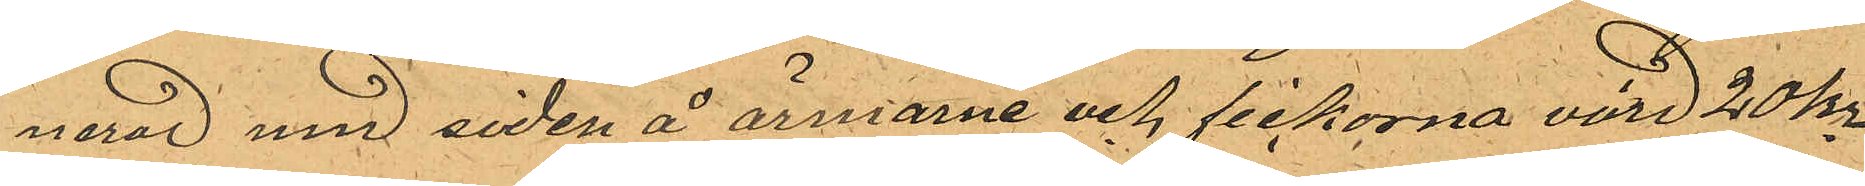nerad med siden å ärmarne och sickorna värd 20 kr
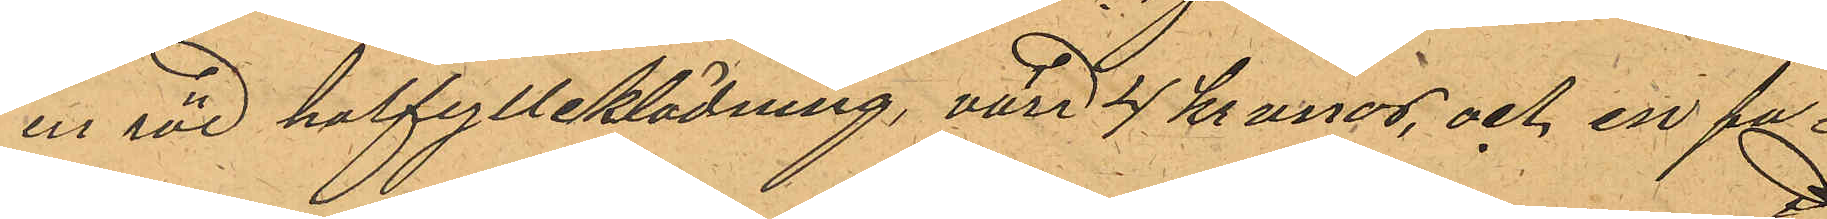en röd halfylleklädning, värd 4 kronor, och en pa
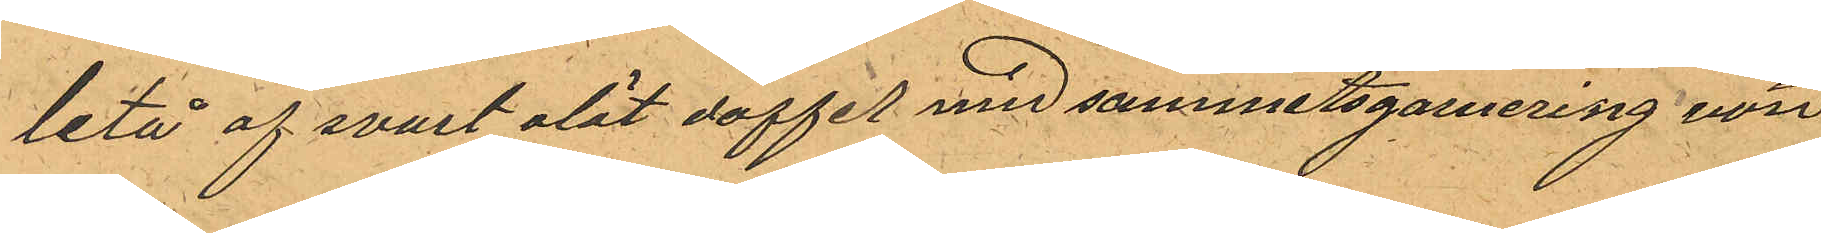letaåaf svart slät doffel med sammetsgarnering värd
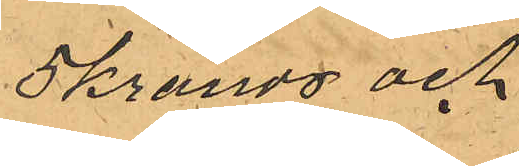5 kronor och
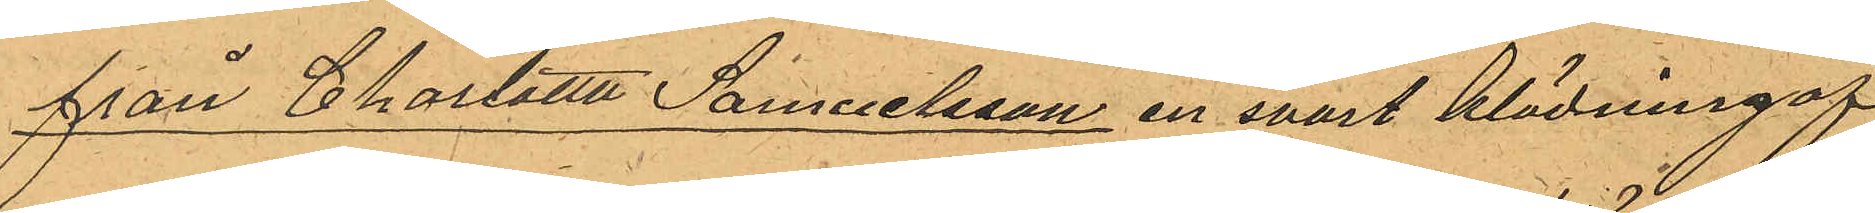från Charlotta Samuelsson en svart klädning af
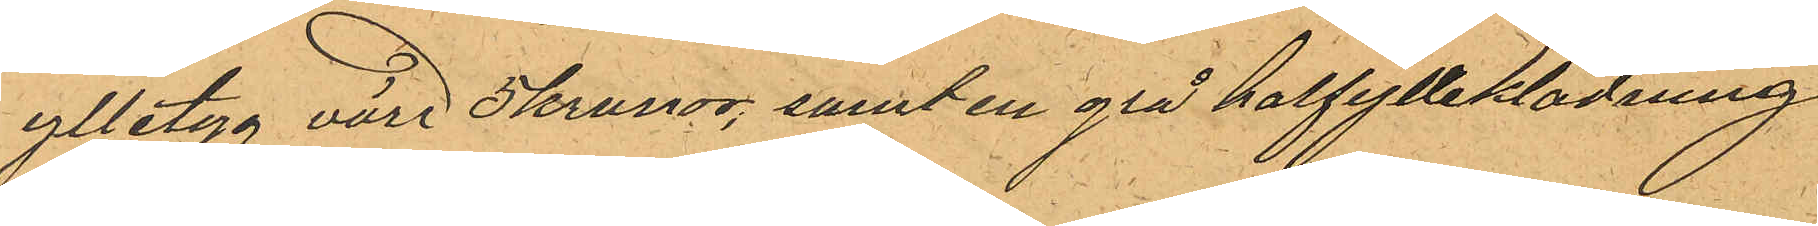ylletyg värd 3 kronor, samt en grå halfylleklädning
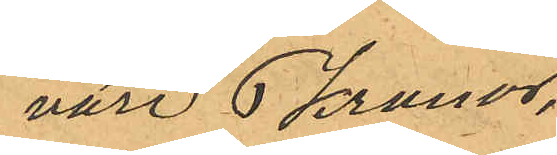värd 6 Kronor;
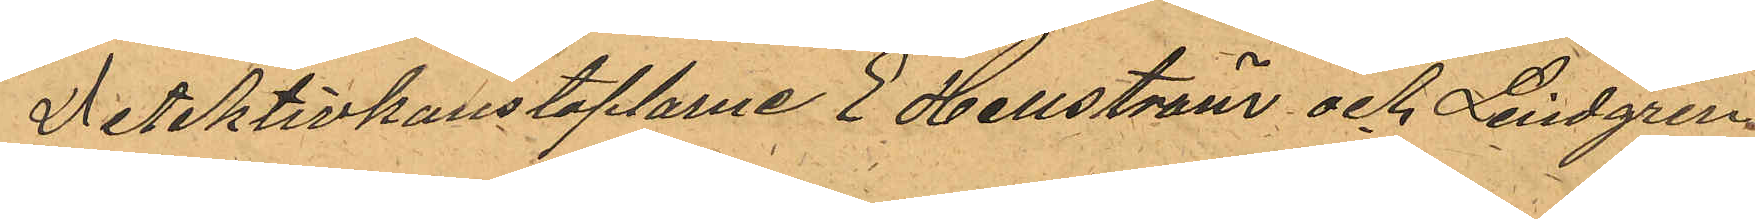Detektivkonstaplarne E Hellström och Lindgren
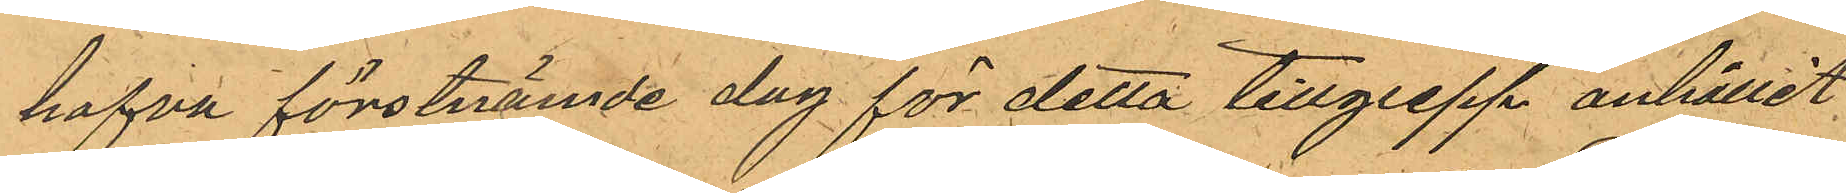hafva förstnämde dag för detta tillgrepp anhållit
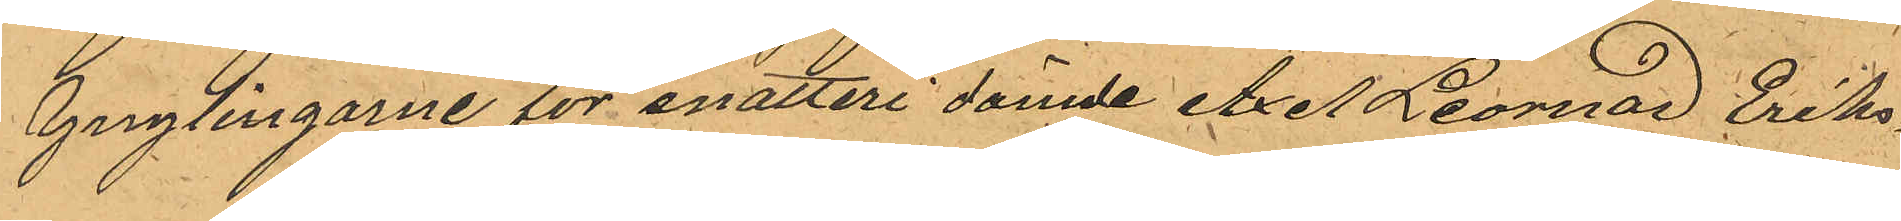Ynglingarne för snatteri dömde Axel Leornad Eriks¬
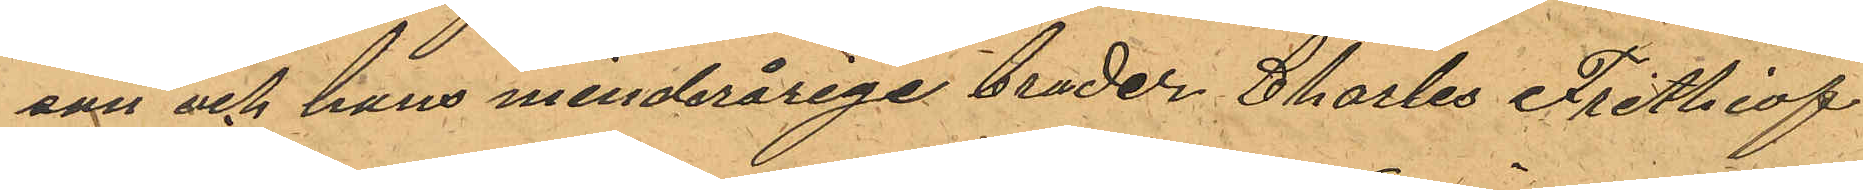son och hans minderårige broder Charles Frithiof
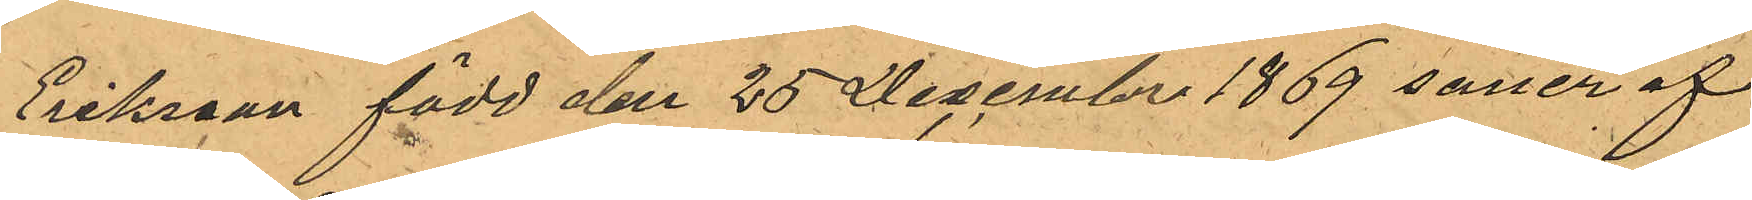Eriksson född den 25 December 1869 söner af
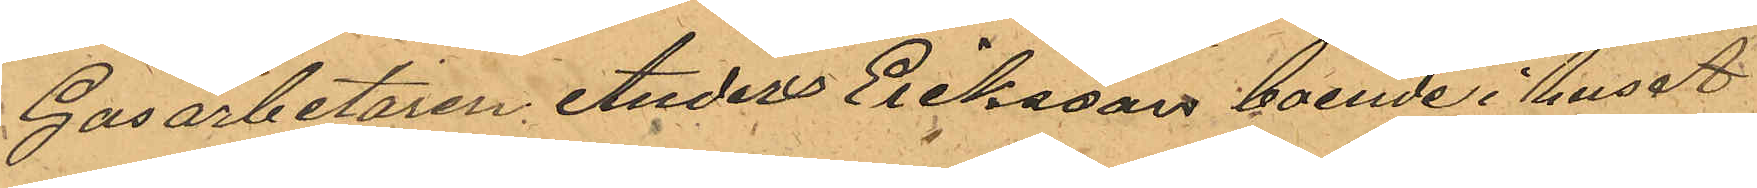Gasarbetaren Anders Eriksson, boende i huset
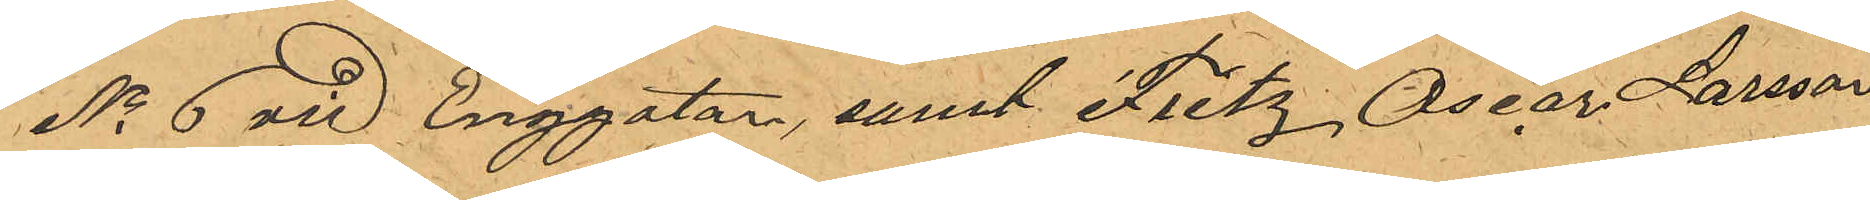No 6 vid Enggatan, samt Fritz Oscar Larsson
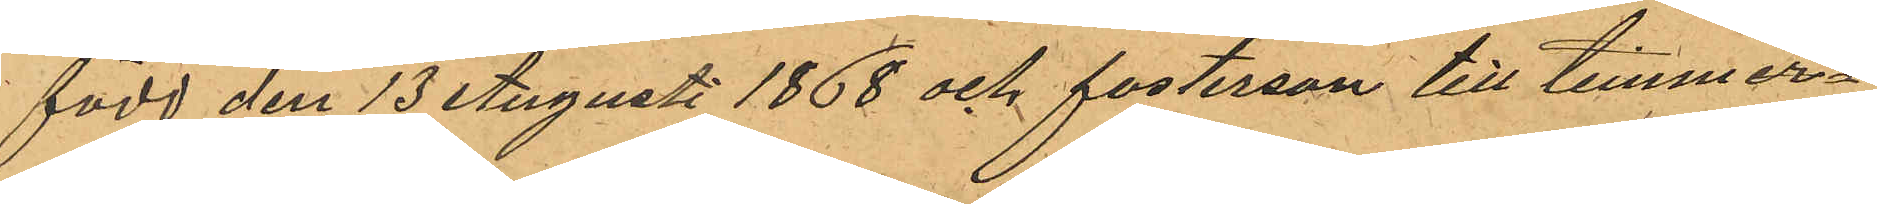född den 13 Augusti 1868 och fosterson till timmer¬
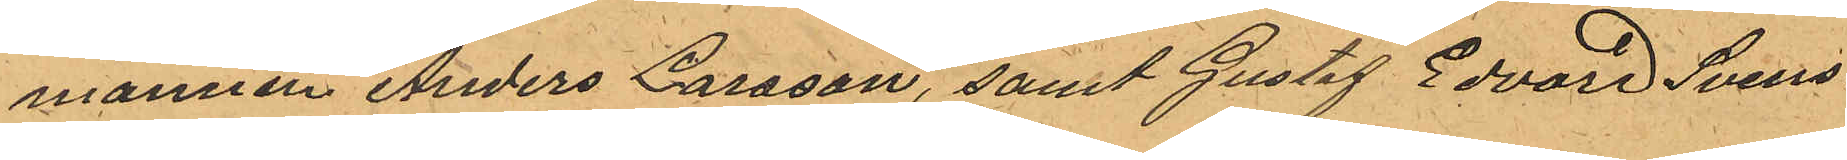mannen Anders Larsson, samt Gustaf Edvard Svens¬
